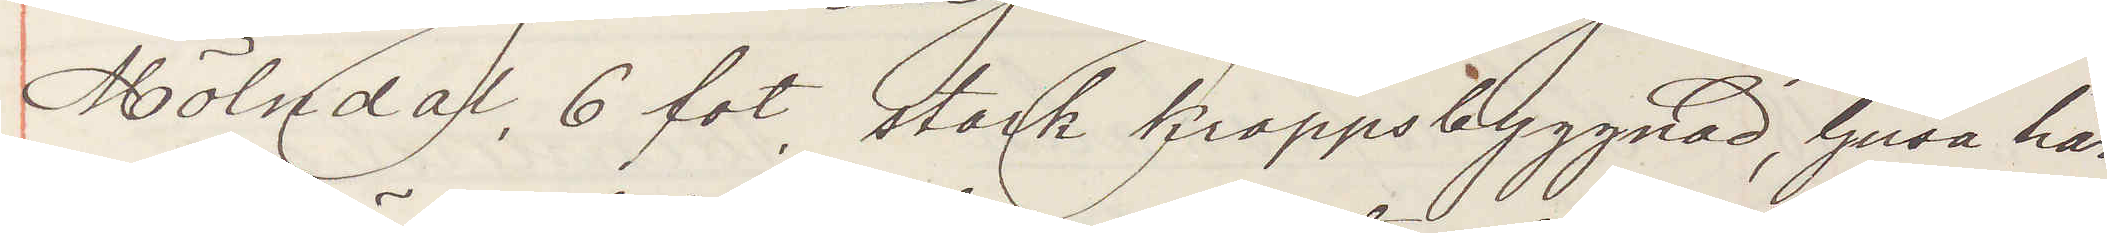Mölndal, 6 fot, stark kroppsbyggnad, ljus hår
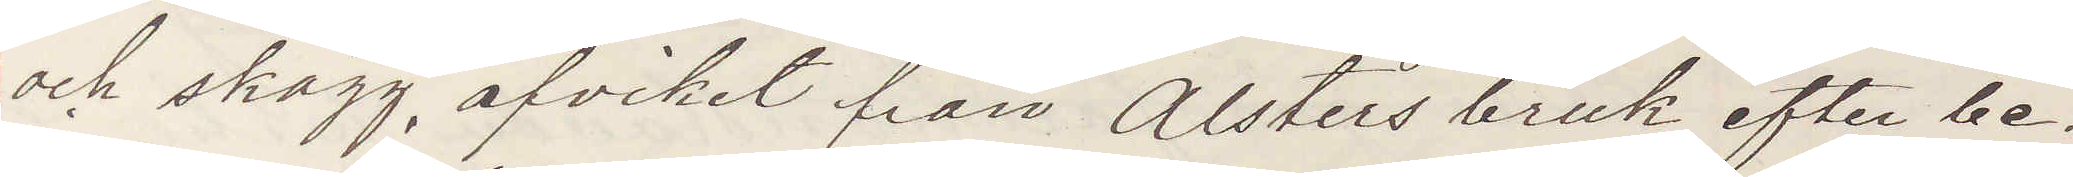och skägg, afvikit från Alsters bruk efter be¬
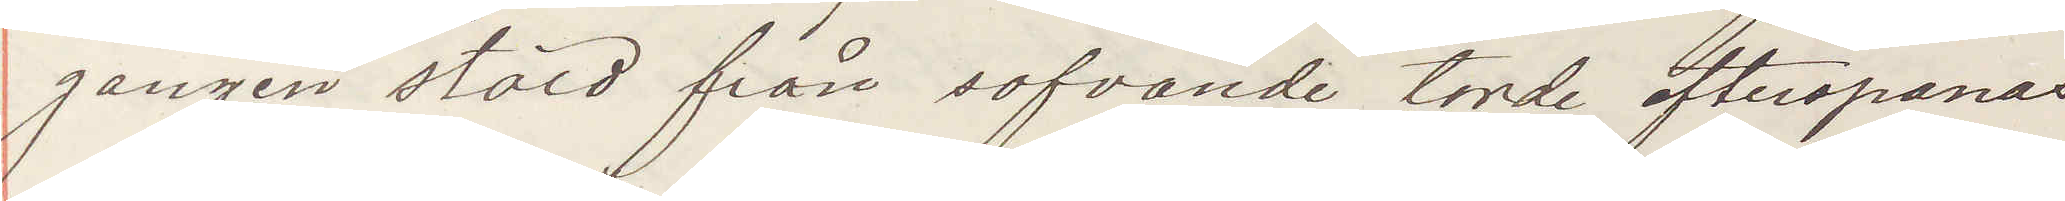gången stöld från sofvande torde efterspanas
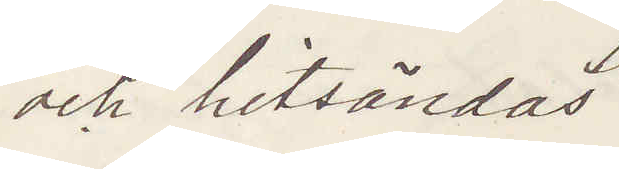och hitsändas
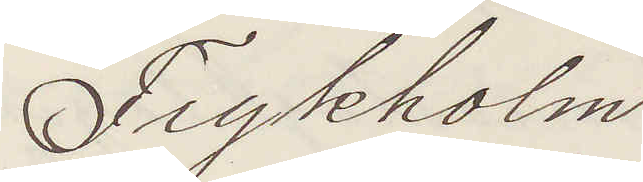Frykholm
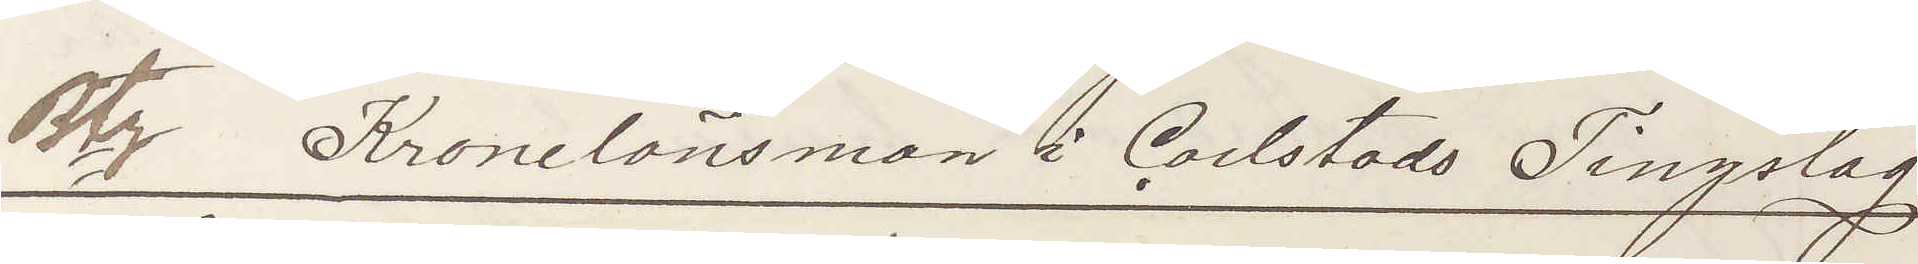Btz  Kronolänsman i Carlstads Tingslag.
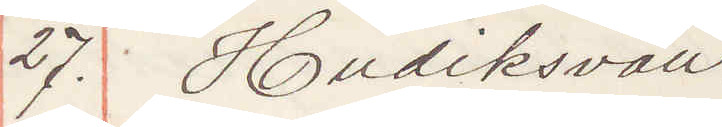27. Hudiksvall:
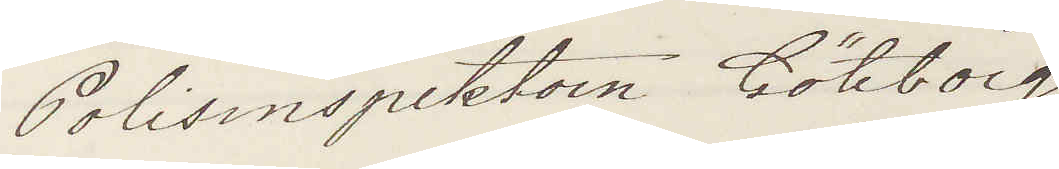Polisinspektorn Göteborg
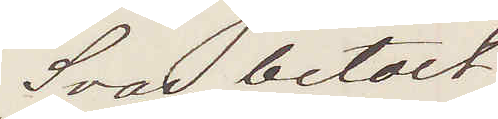Svar betalt
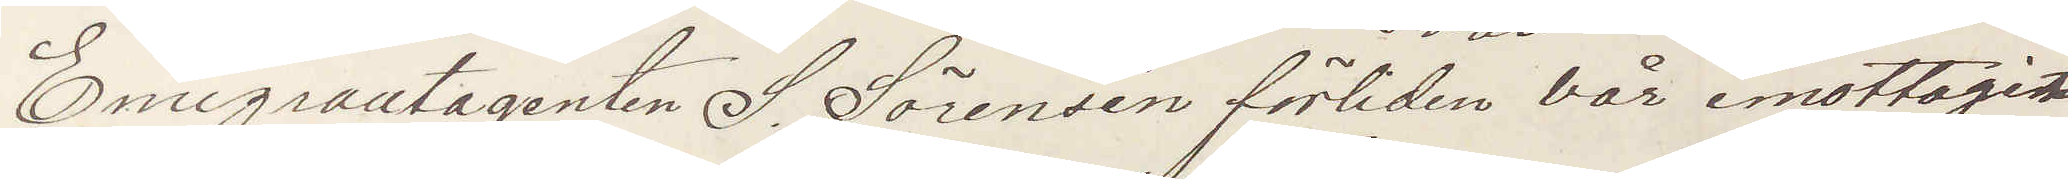Emigrantagenten S. Sörensén förliden vår emottagit
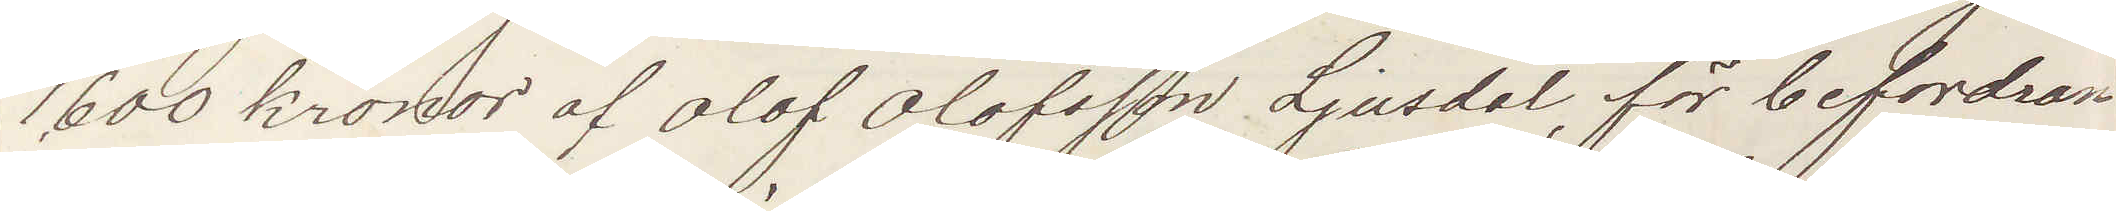1,600 kronor af Olof Olofsson, Ljusdal, för befordran
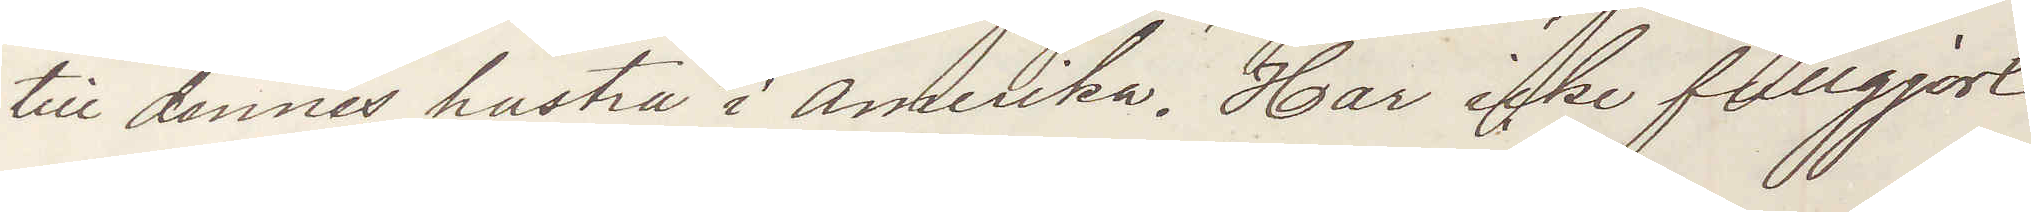till dennes hustru i Amerika. Han icke fullgjort
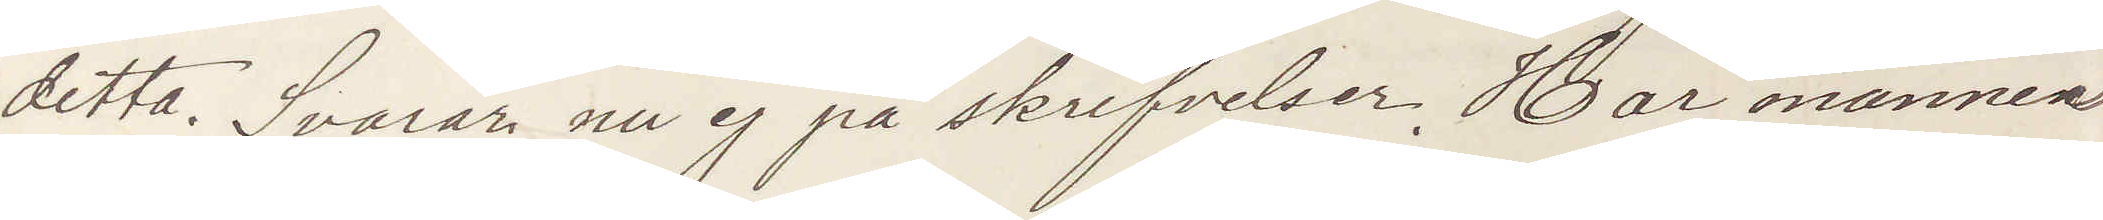detta. Svarar nu ej på skrifvelser. Har numera
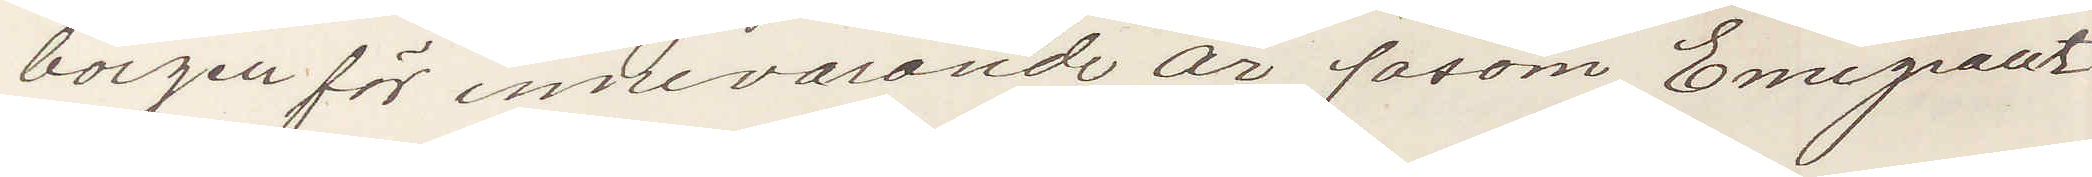borgen för innevarande år såsom Emigrant¬
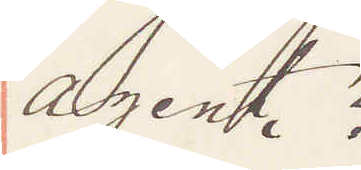agent?
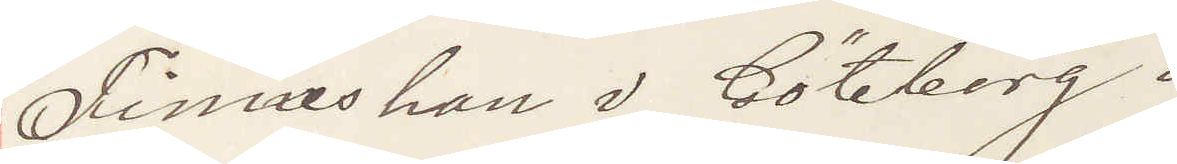Finnes han i Göteborg?
